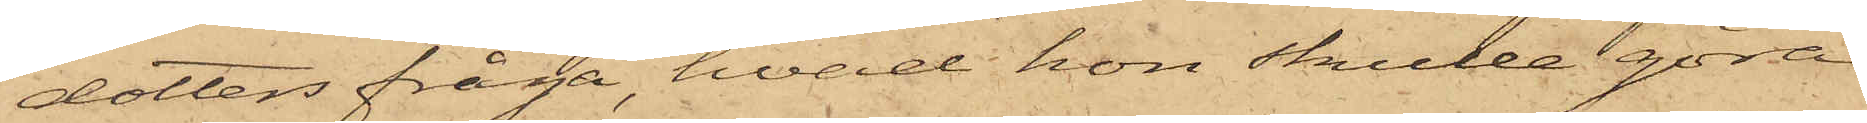dotters fråga hvad hon skulle göra
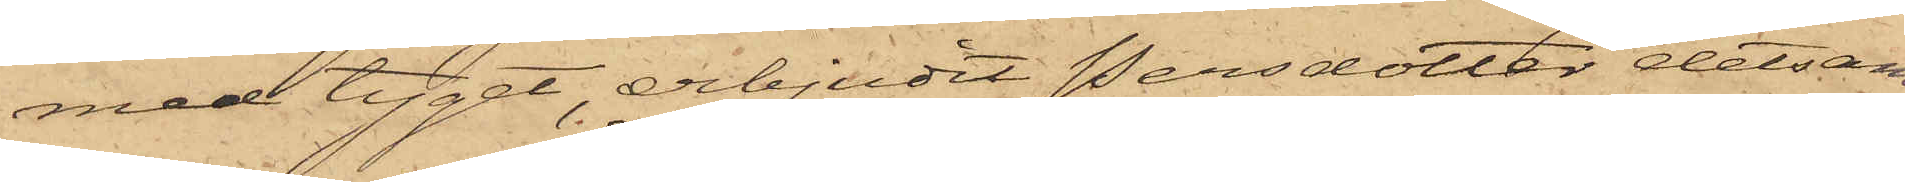med tyget, erbjudit Persdotter detsam¬
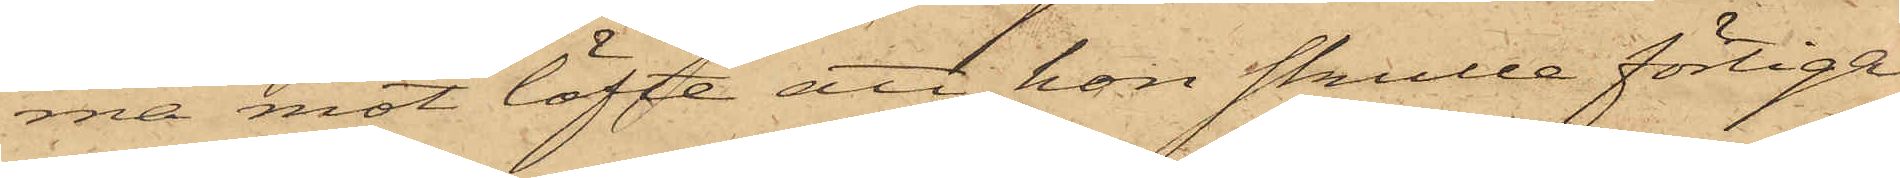ma mot löfte att hon skulle förtiga
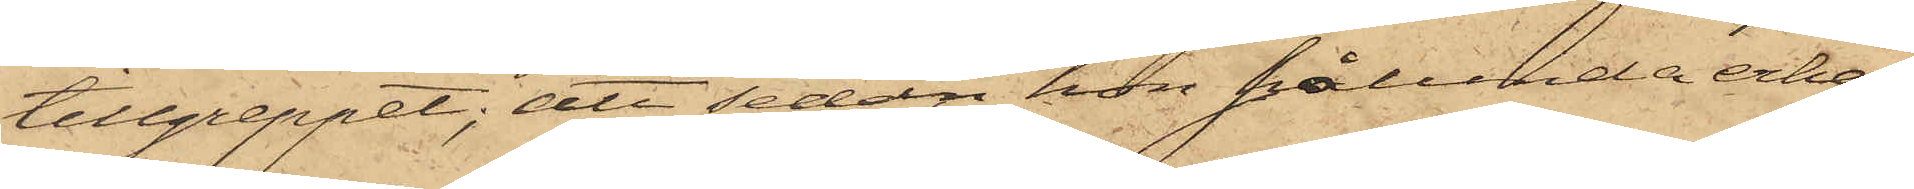tillgreppet; att sedan hon sålunda erhål¬
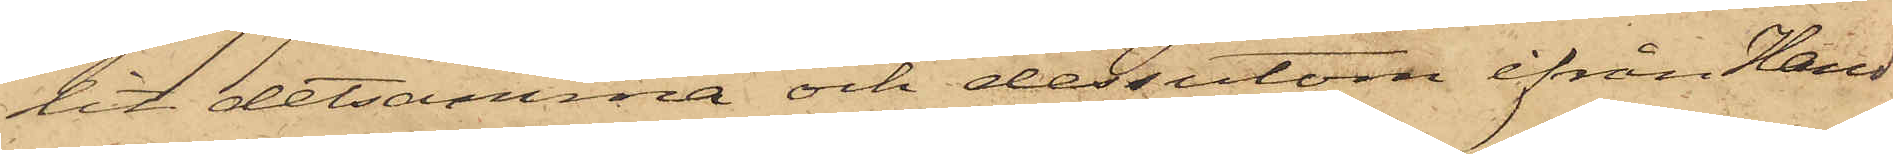lit detsamma och dessutom ifrån Hand¬
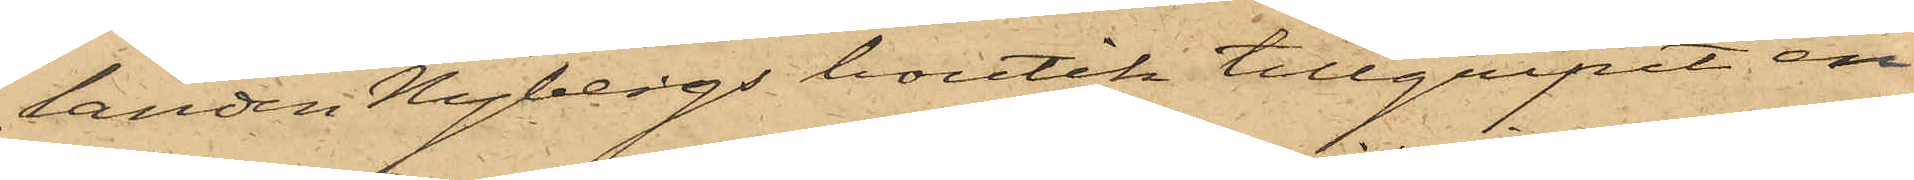landen Nybergs boutik tillgripit en
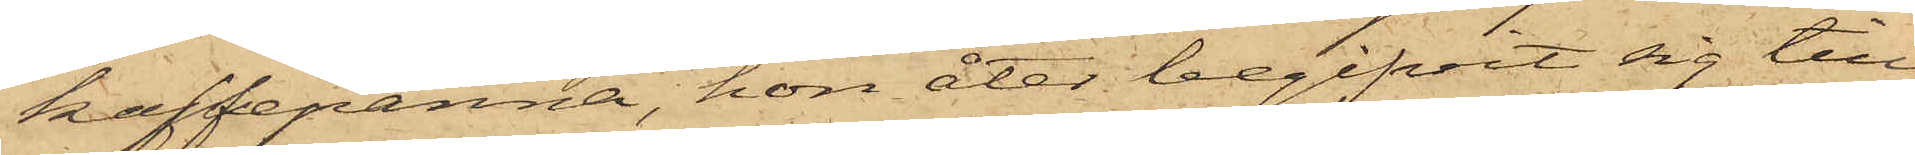kaffepanna, hon åter begifvit sig till
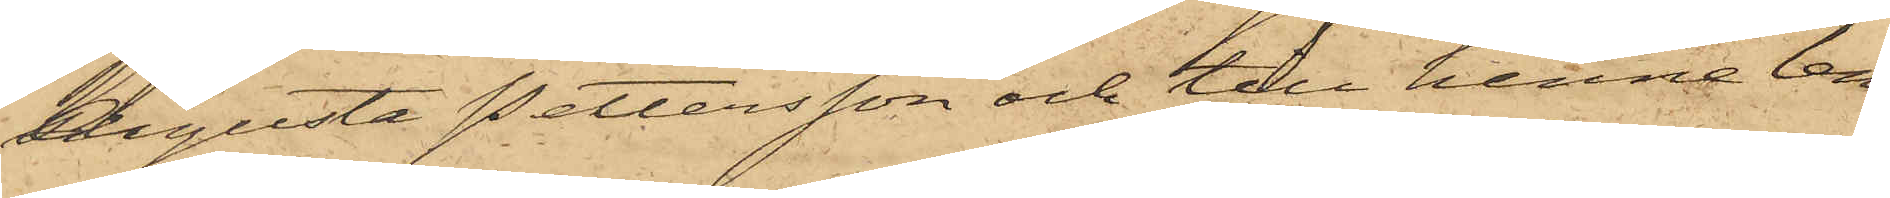Augusta Pettersson och till henne lem¬
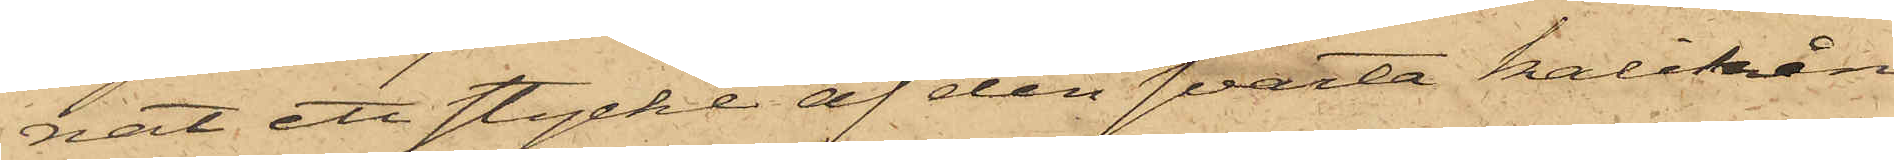nat ett stycke af den svarta kalikån
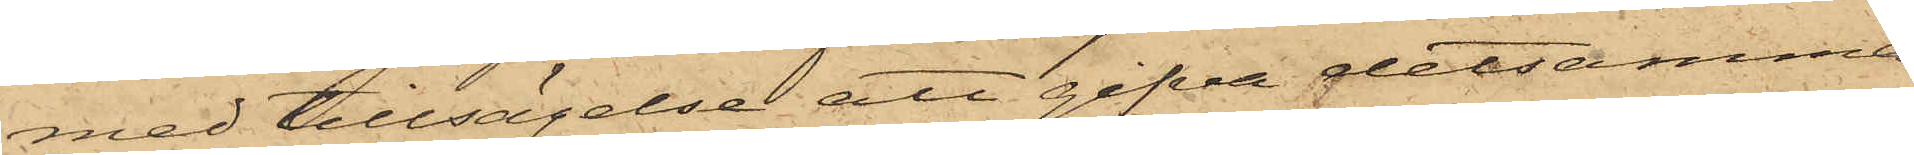med tillsägelse att gifva detsamma
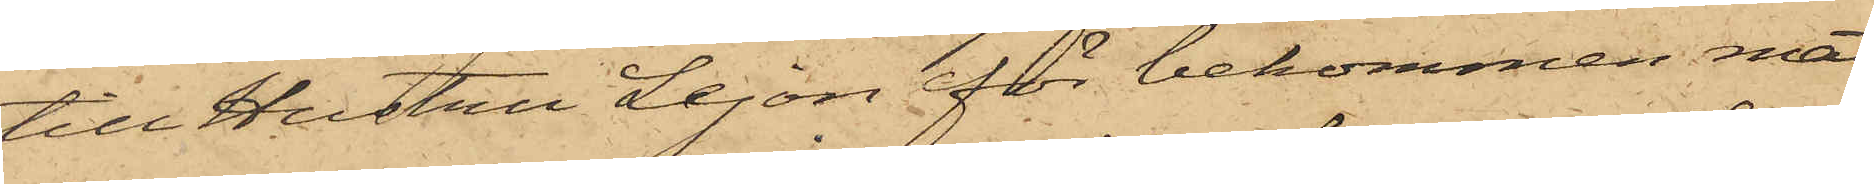till Hustru Lejon för bekommen mat
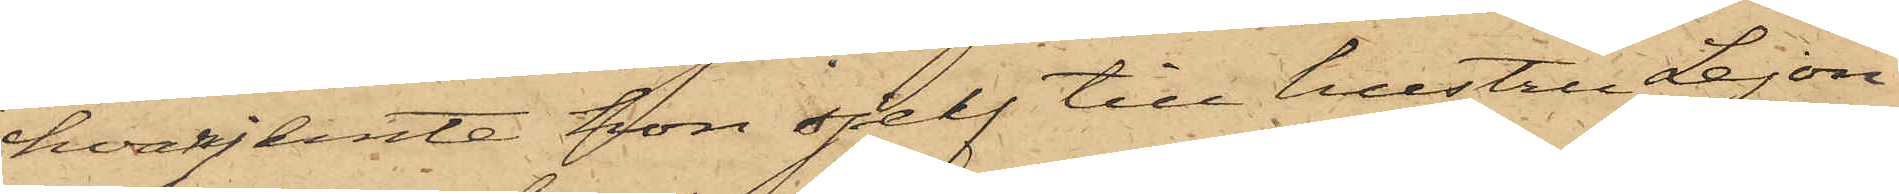hvarjemte hon sjelf till hustru Lejon
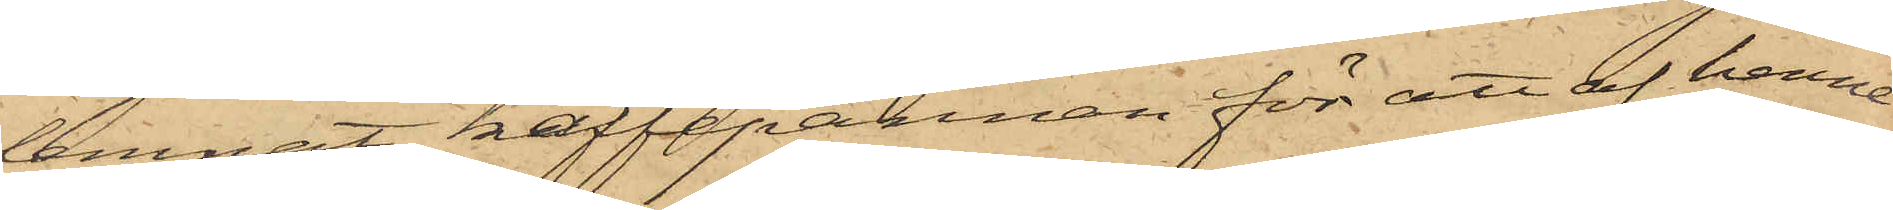lemnat kaffepannan för att af henne
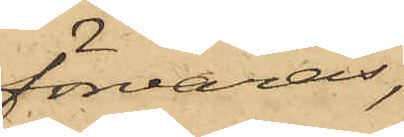förvaras,
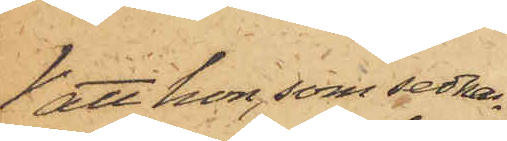att hon, som sedna¬
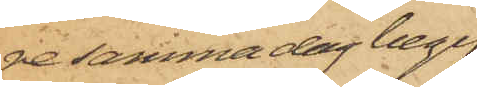re samma dag begif¬
